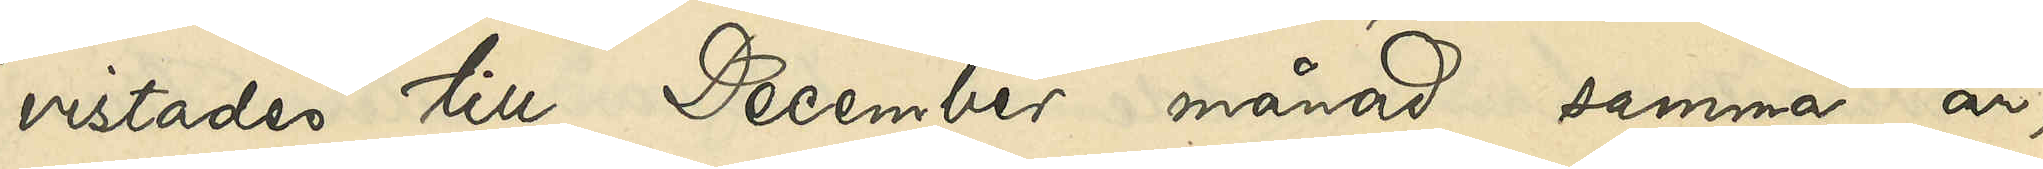vistades till December månad samma år,
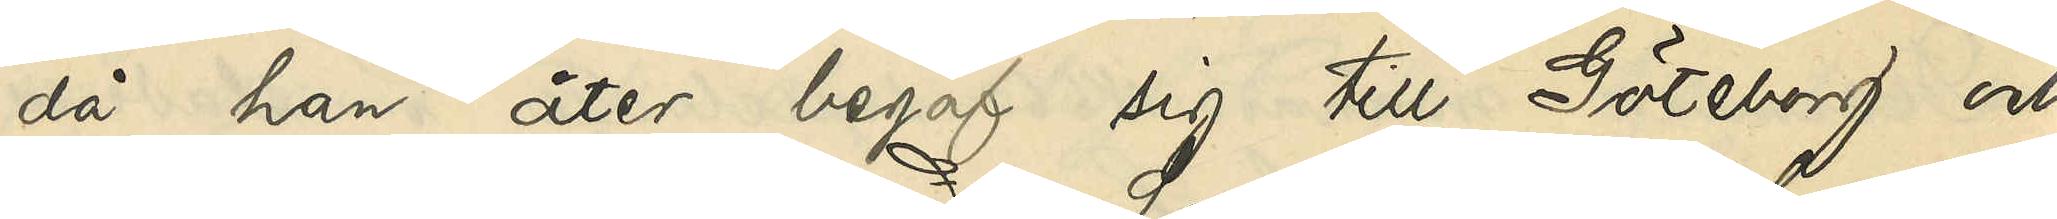då han åter begaf sig till Göteborg och
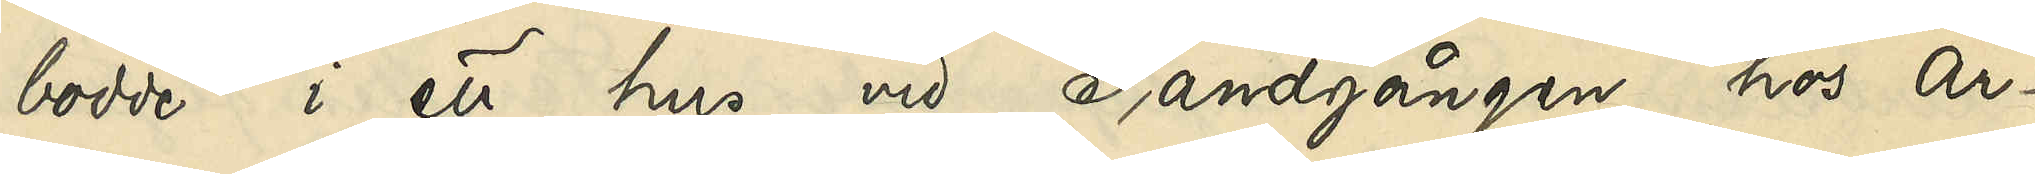bodde i ett hus vid Sandgången hos Ar¬
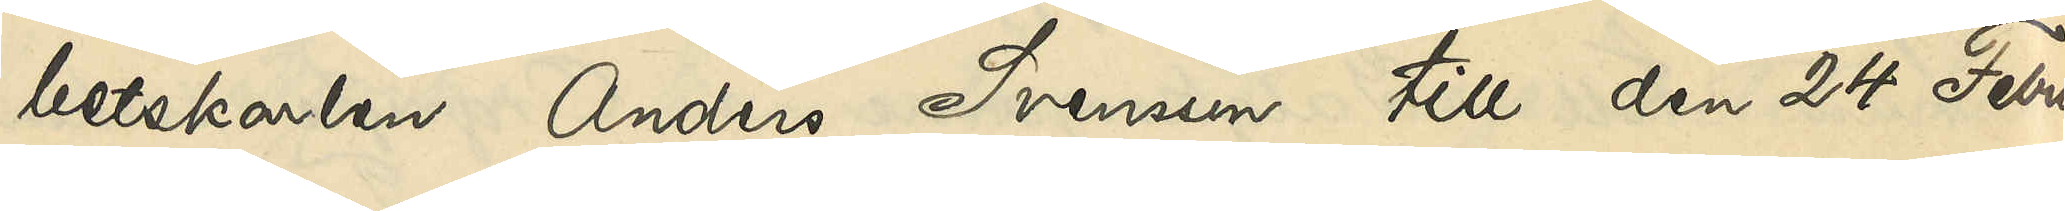betskarlen Anders Svensson till den 24 Febru¬
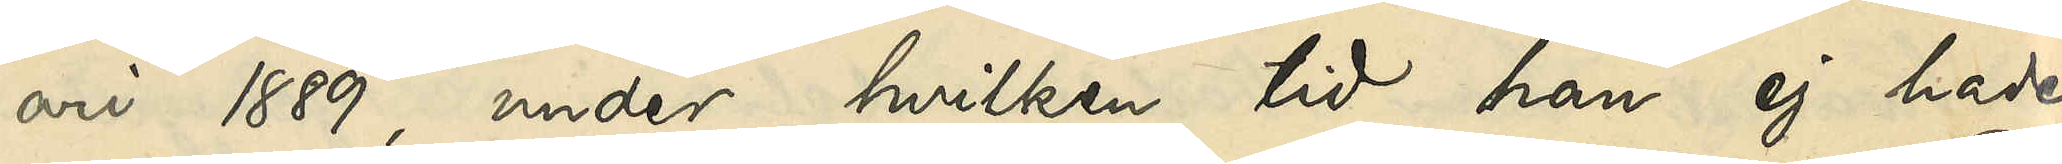ari 1889, under hvilken tid han ej hade
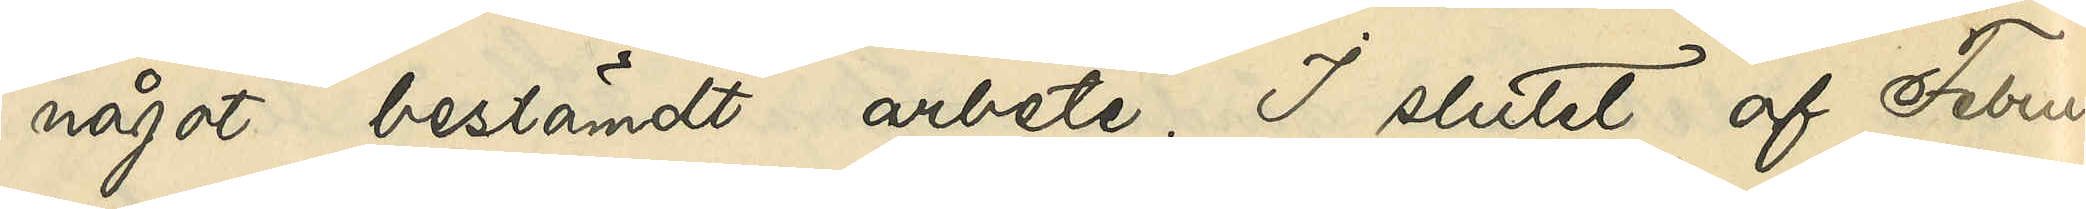något bestämdt arbete. I slutet af Febru¬
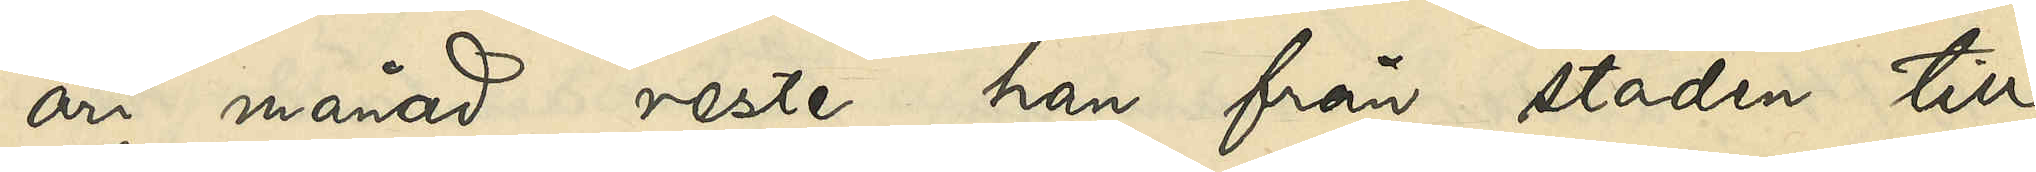ari månad reste han från staden till
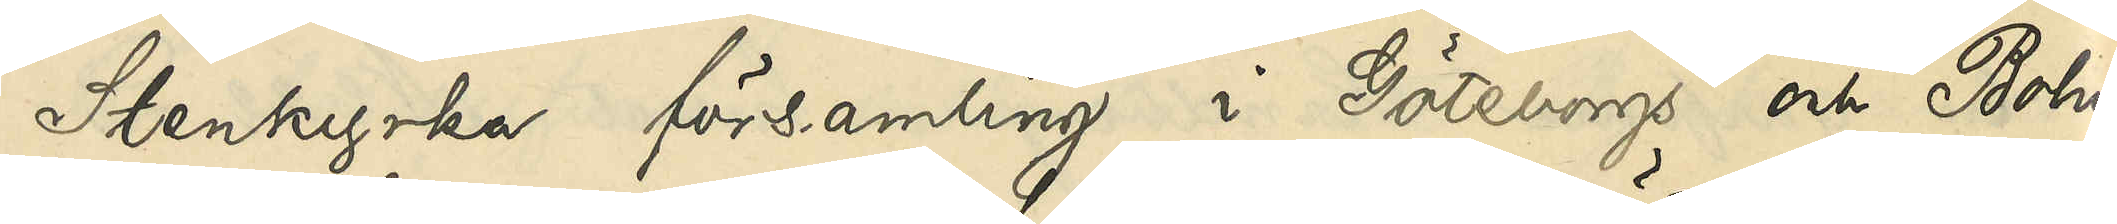Stenkyrka församling i Göteborgs och Bohus
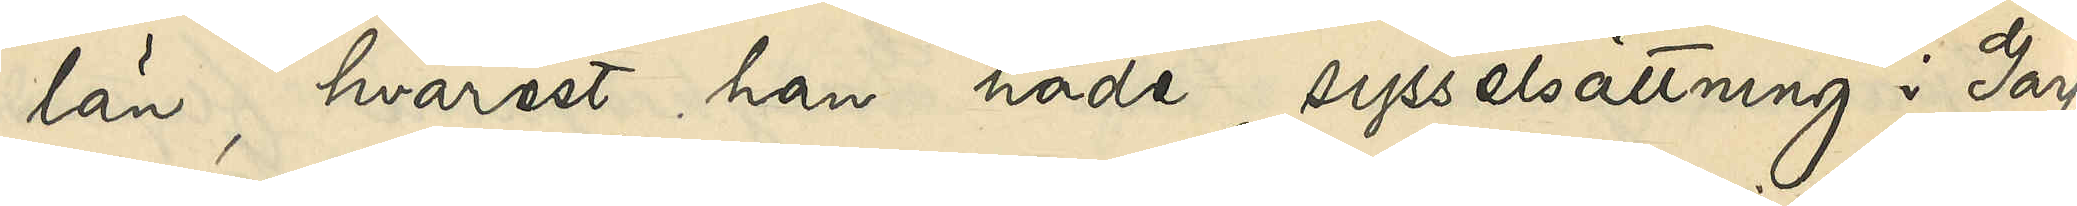län, hvarest han hade sysselsättning i Garf¬
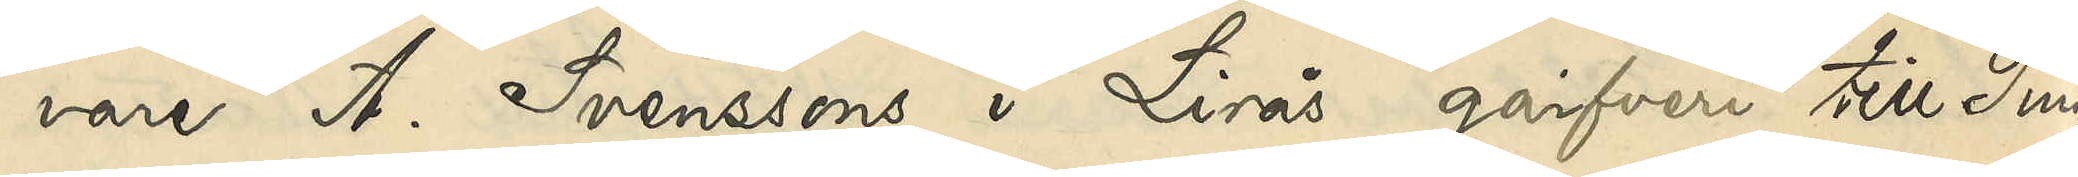vare A. Svenssons i Linås garfveri till Pingst¬
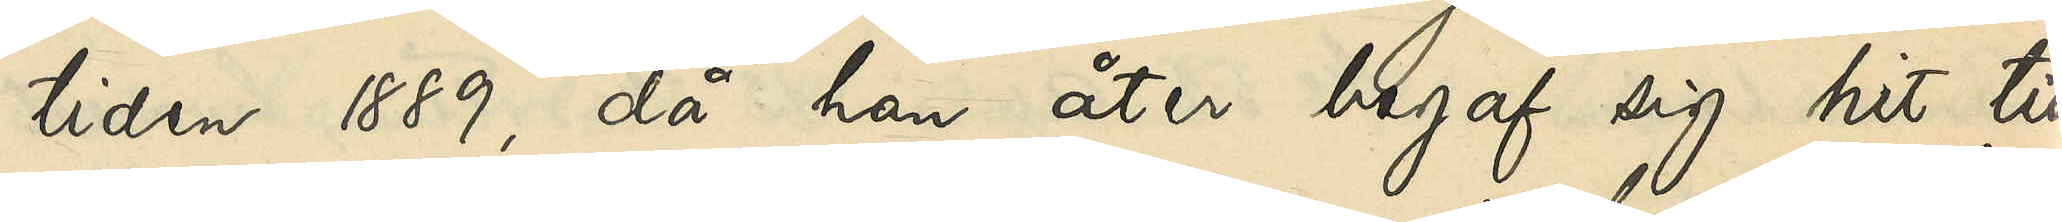tiden 1889, då han åter begaf sig hit till
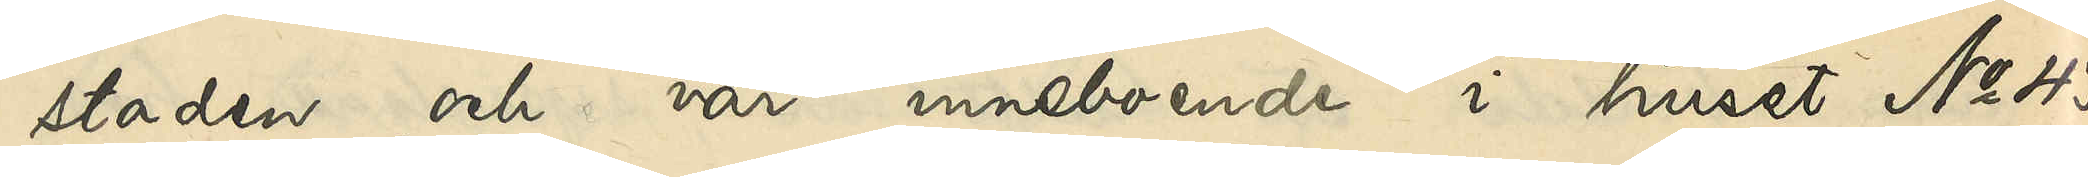staden och var inneboende i huset No 43
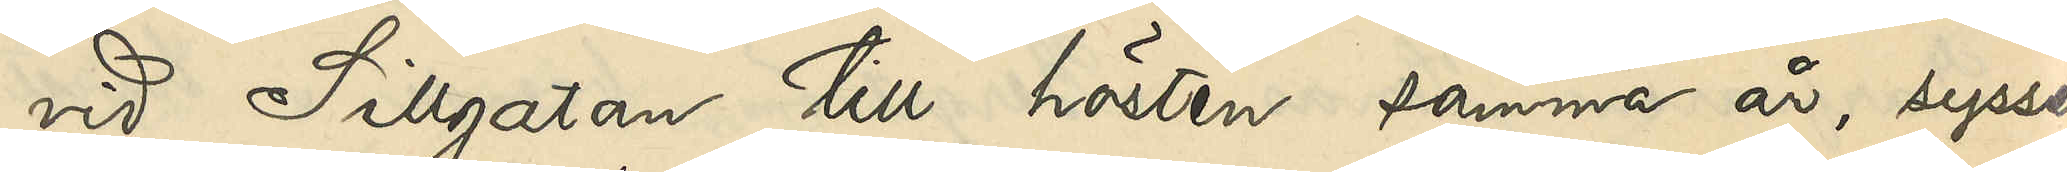vid Sillgatan till hösten samma år, syssel¬
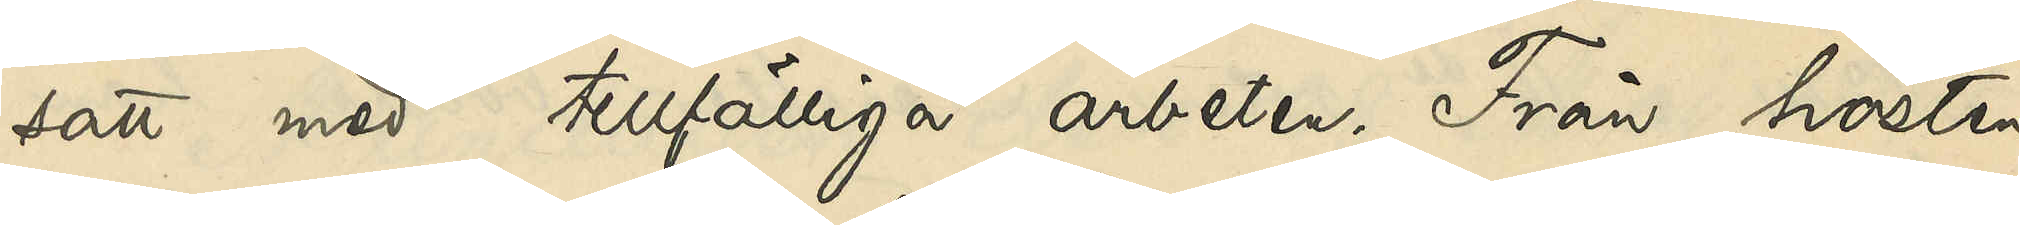satt med tillfälliga arbeten. Från hösten
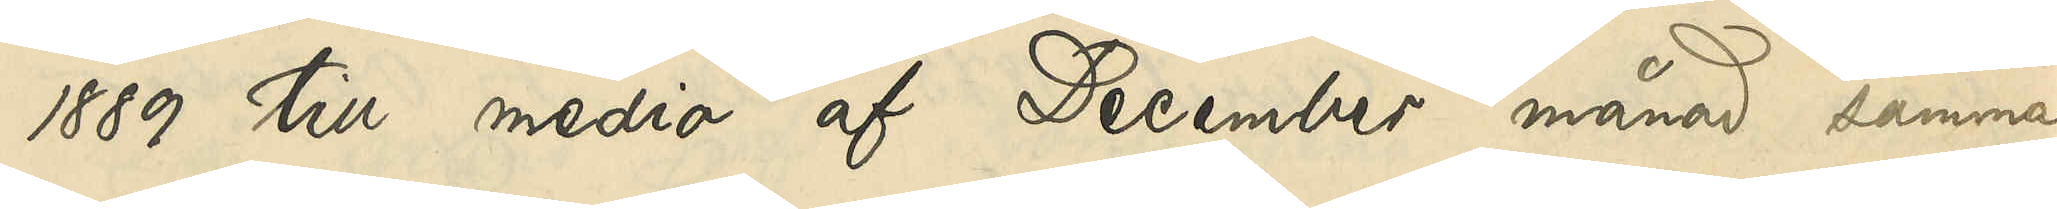1889 till medio af December månad samma
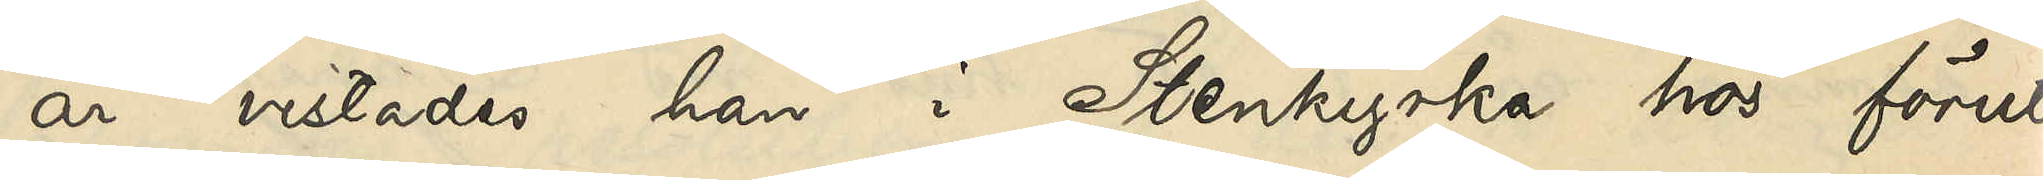år vistades han i Stenkyrka hos förut
